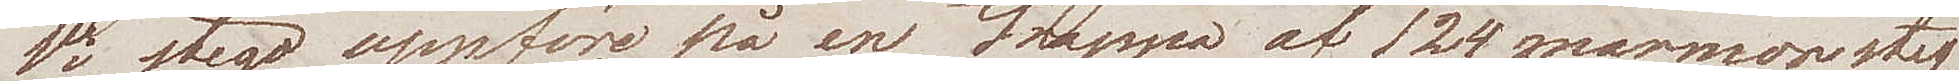Vi stego uppföre på en trappa af 124 marmorsteg
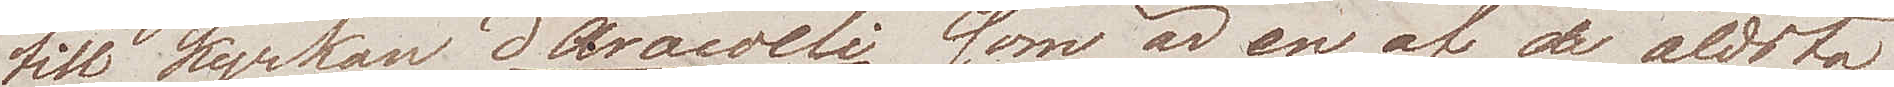till kyrkan d'Aracoeli som är en af de äldsta
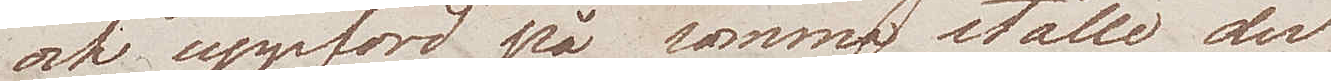och uppförd på samma ställe der
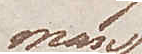man
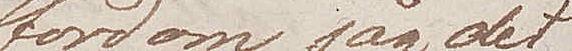fordom såg det
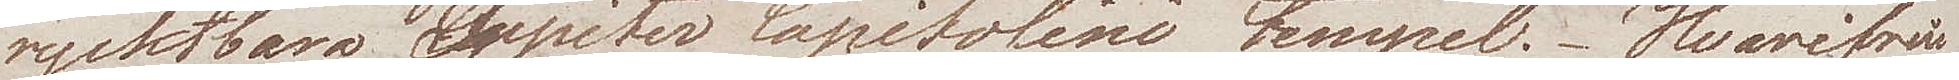rycktbara Jupiter Capitolini tempel. Hvarifrån
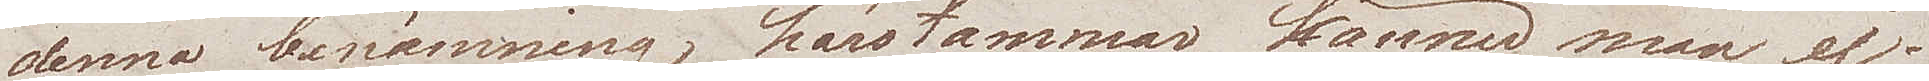denna benämning härstammar känner man ej.
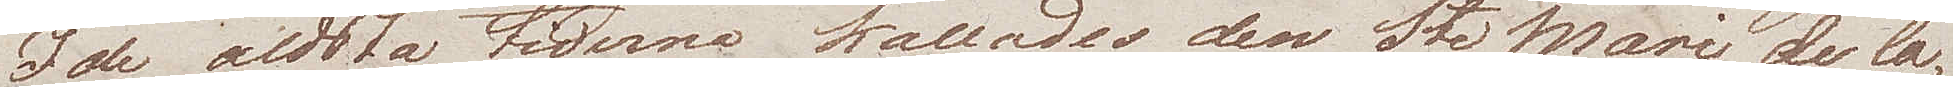I de äldsta tiderna kallades den Sta Marie de la
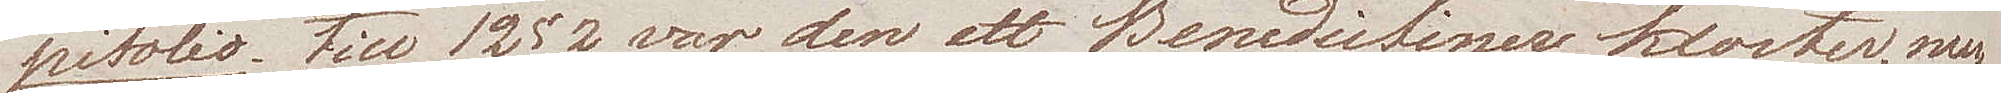Pitolio. Till 1252 var den ett Benedictiner kloster, men
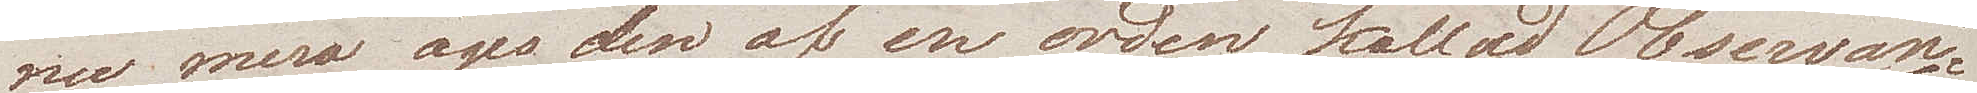nu mera äges den af en orden kallad Observan¬
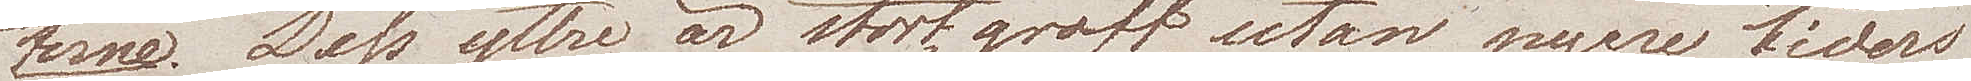terne. Dess yttre är stort, groft, utan nyare tiders
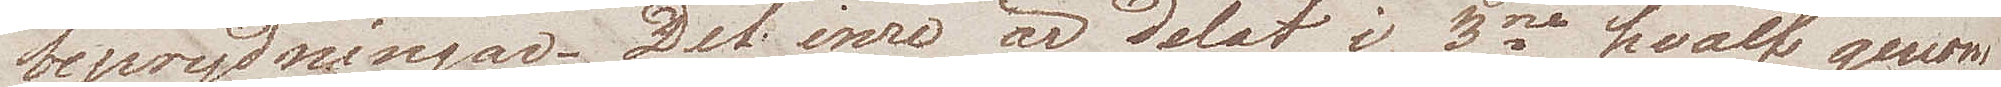beprydningar. Det inre är delat i 3ne hvalf genom
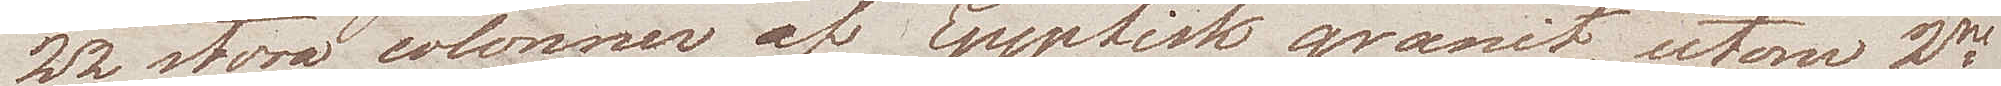22 stora colonner af Egyptisk granit, utom 2ne
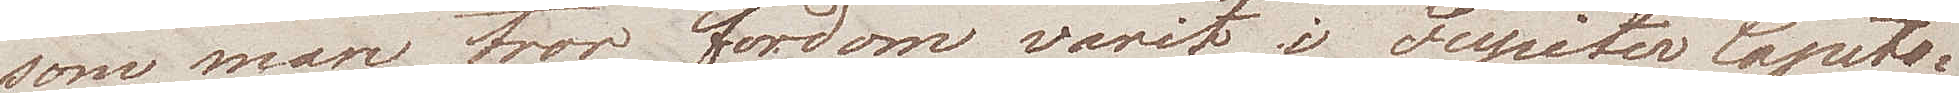som man tror fordom varit i Jupiter Capito¬
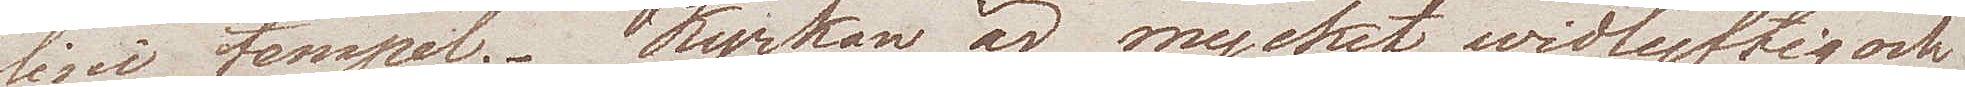lini tempel. Kyrkan är mycket widlyftig och
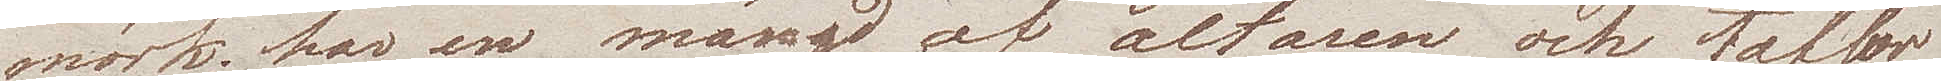mörk; har en mängd af altaren och taflor
